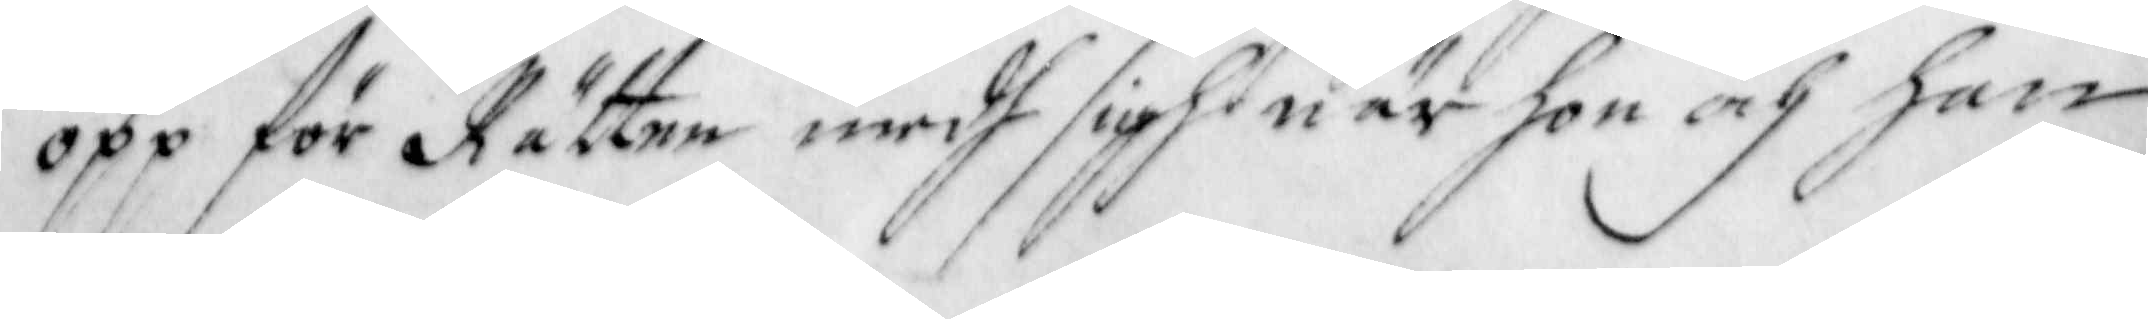opp för Rätten medh sigh när hon och han
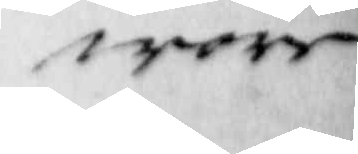wore
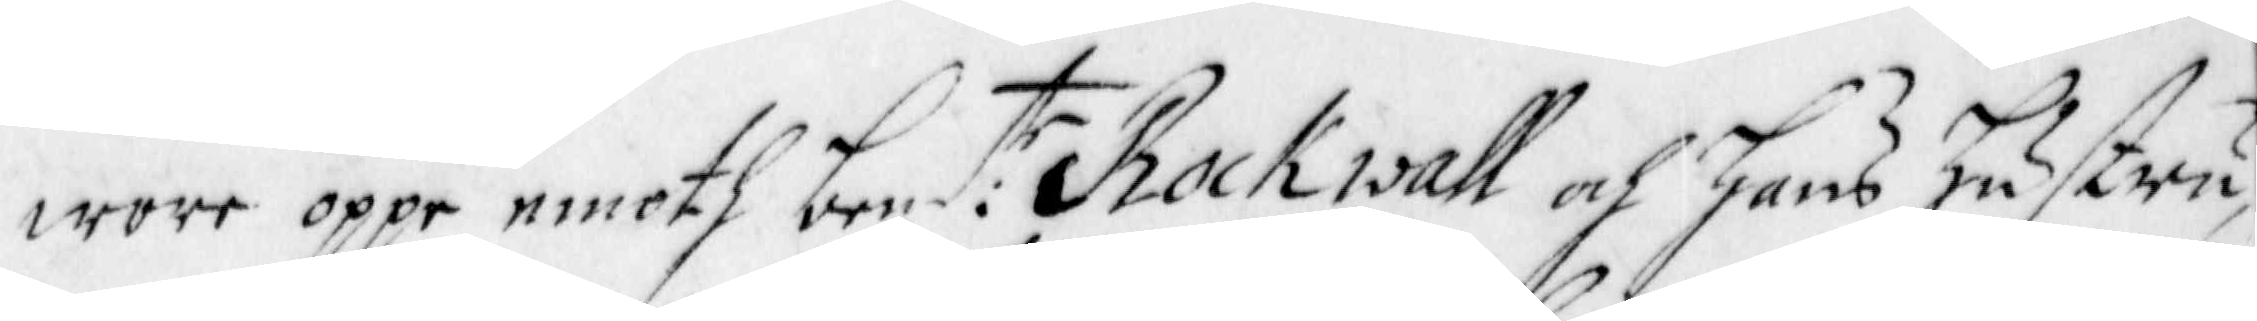wore oppe emoth bem:te Rockwall och hans hustru,
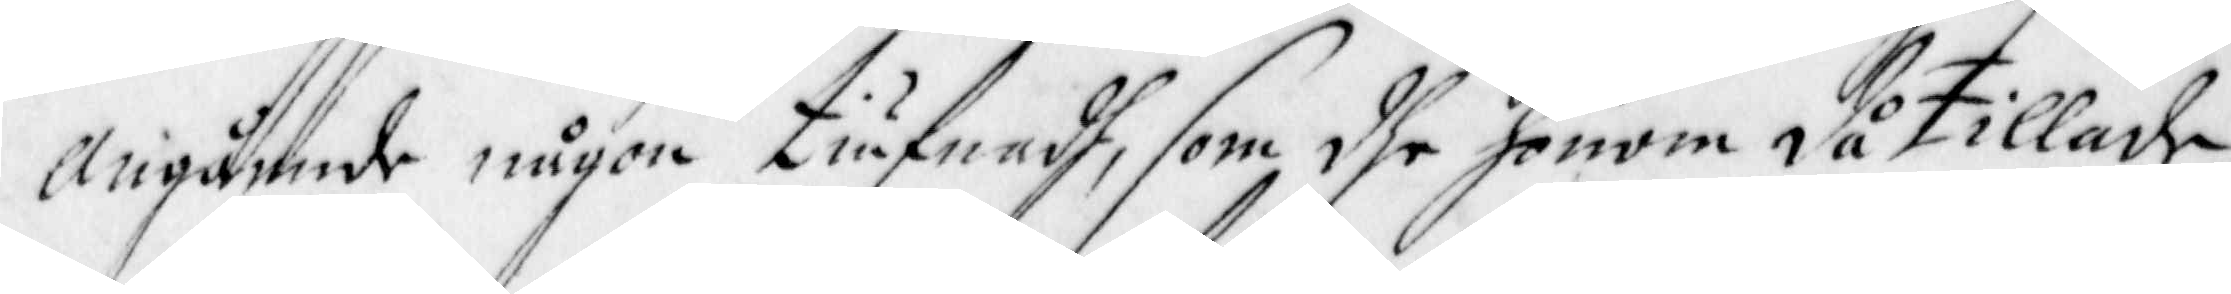Angående någon tiufnadh, som dhe honom då tillade,
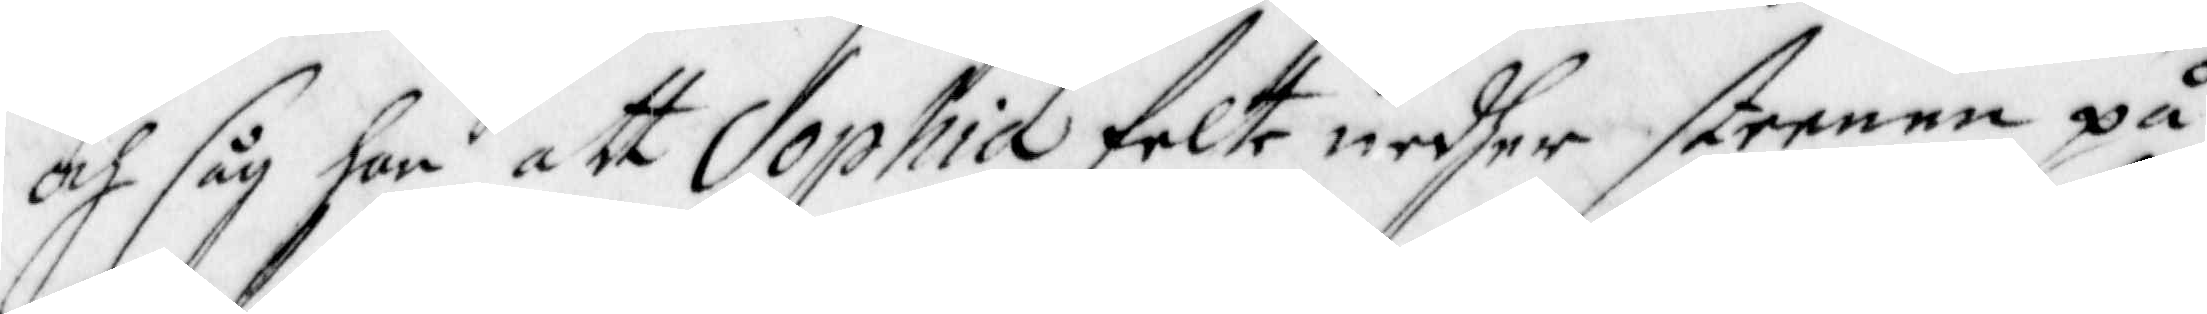och såg han att Sophia felte nedher steenen på
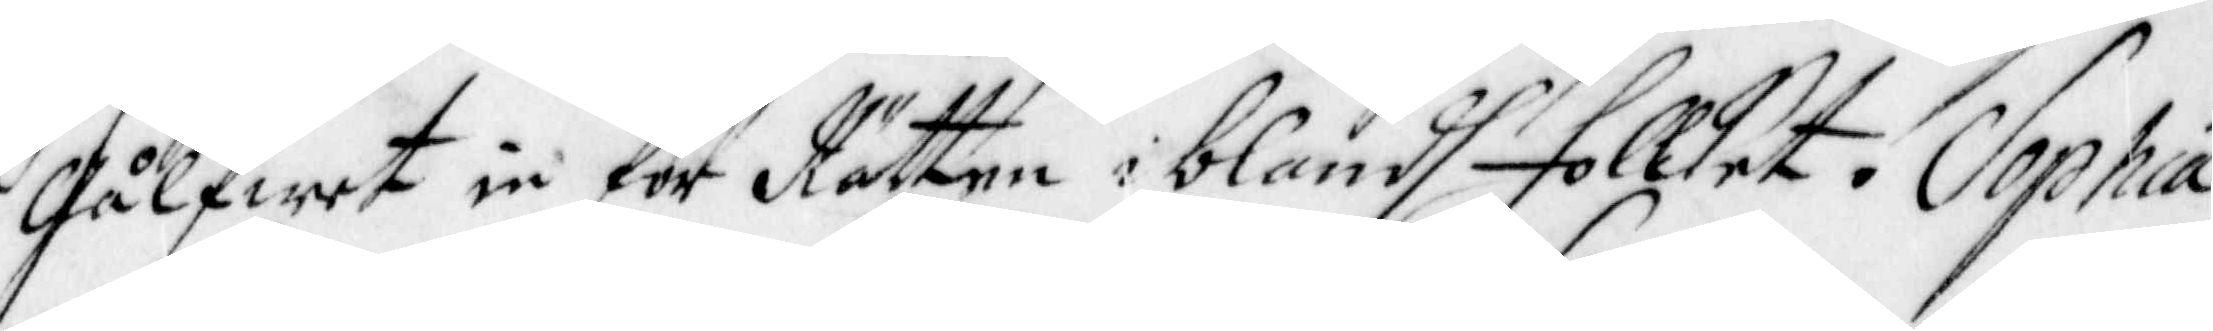Gålfwet in för Rätten iblandh Folcket. Sophia
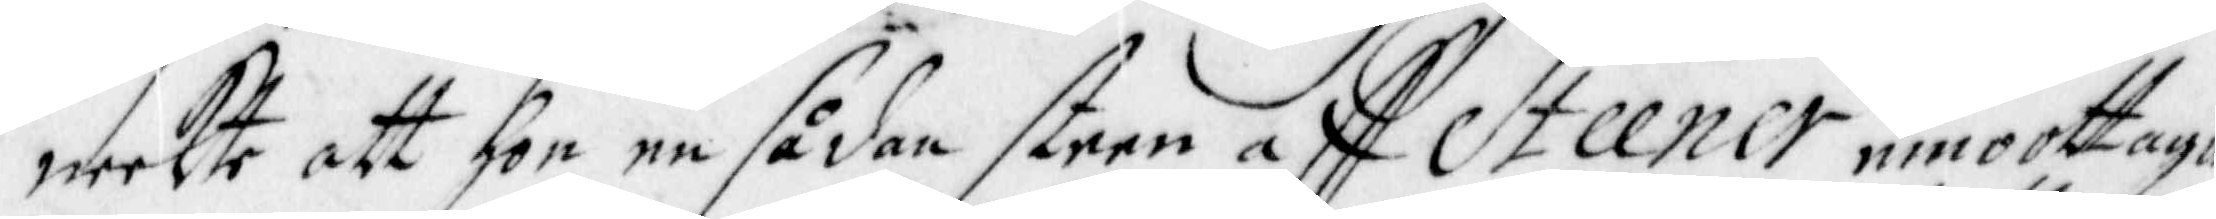neekte att hon en sådan steen aff Steener emoottagi
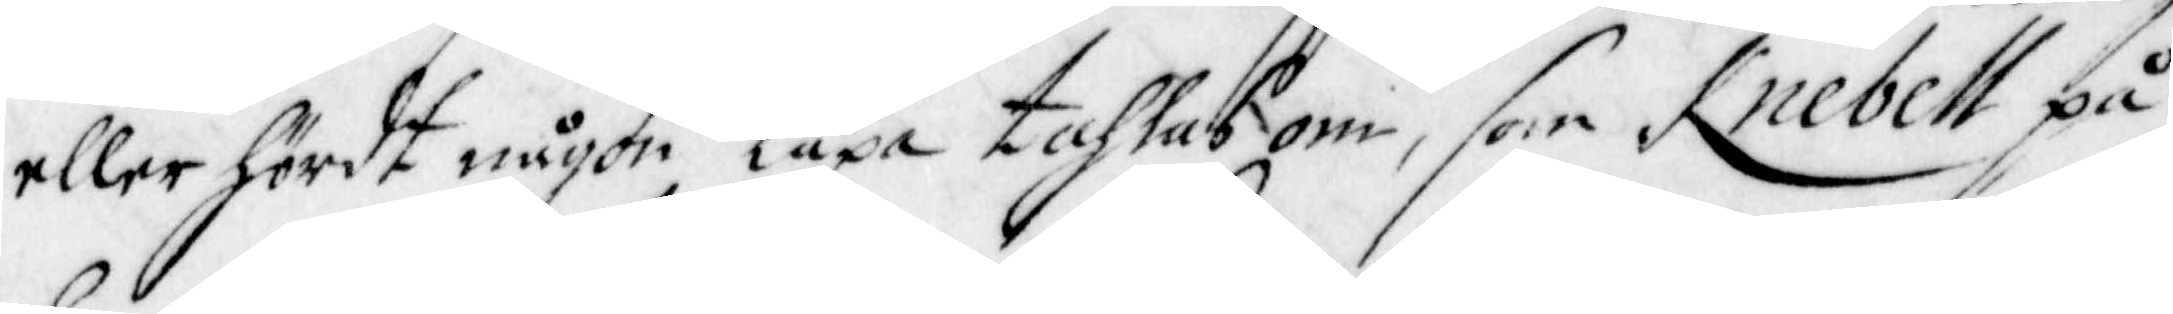eller hördt någon läxa tahlas om, som Knebell på
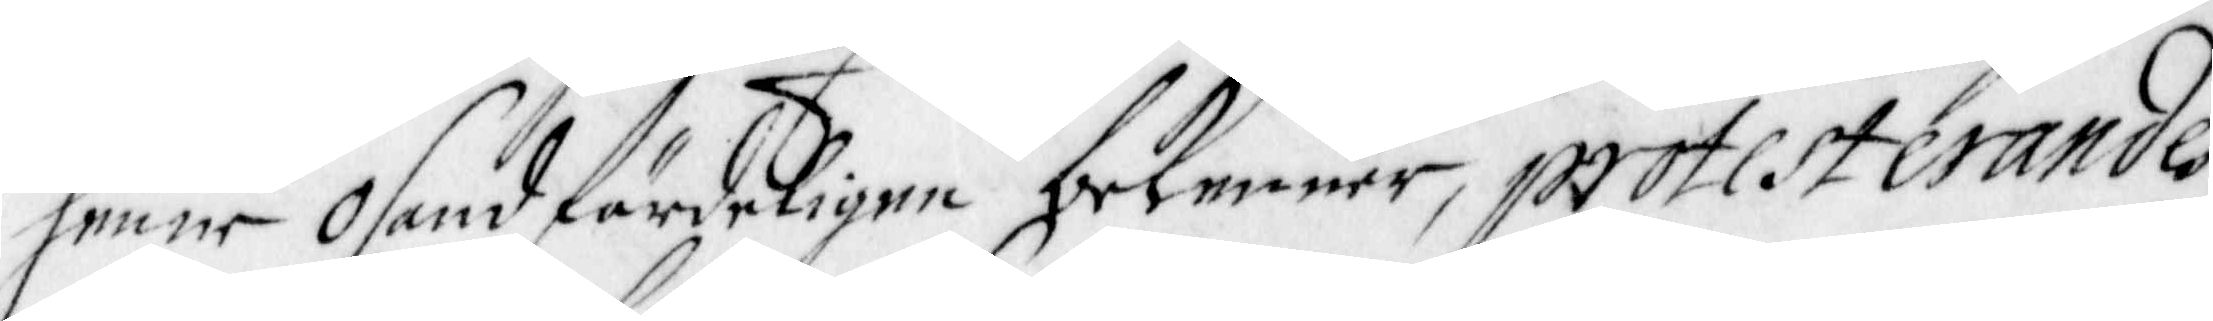henne osandfärdeligen bekenner, protesterandes
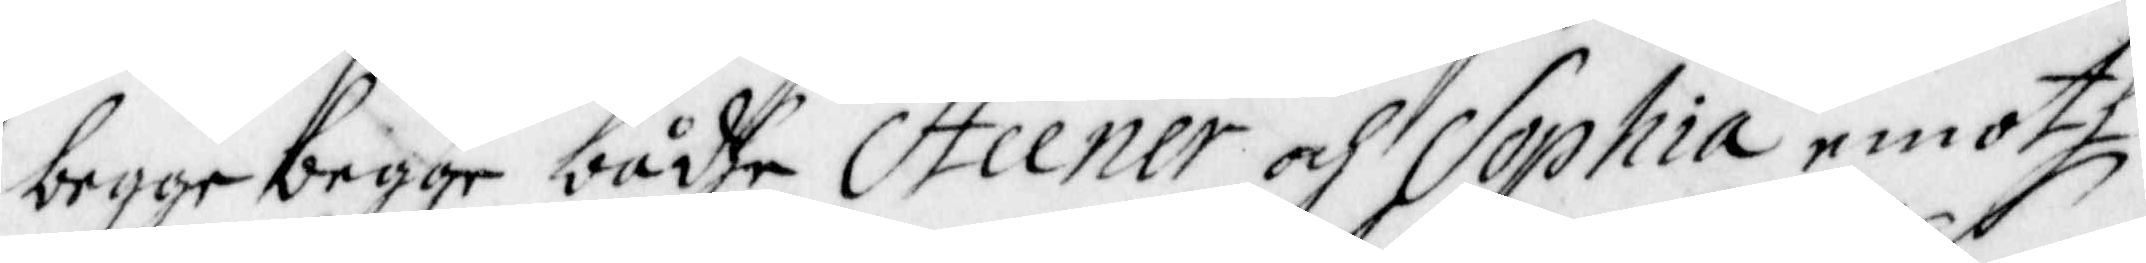begge begge bådhe Steener och Sophia emoth
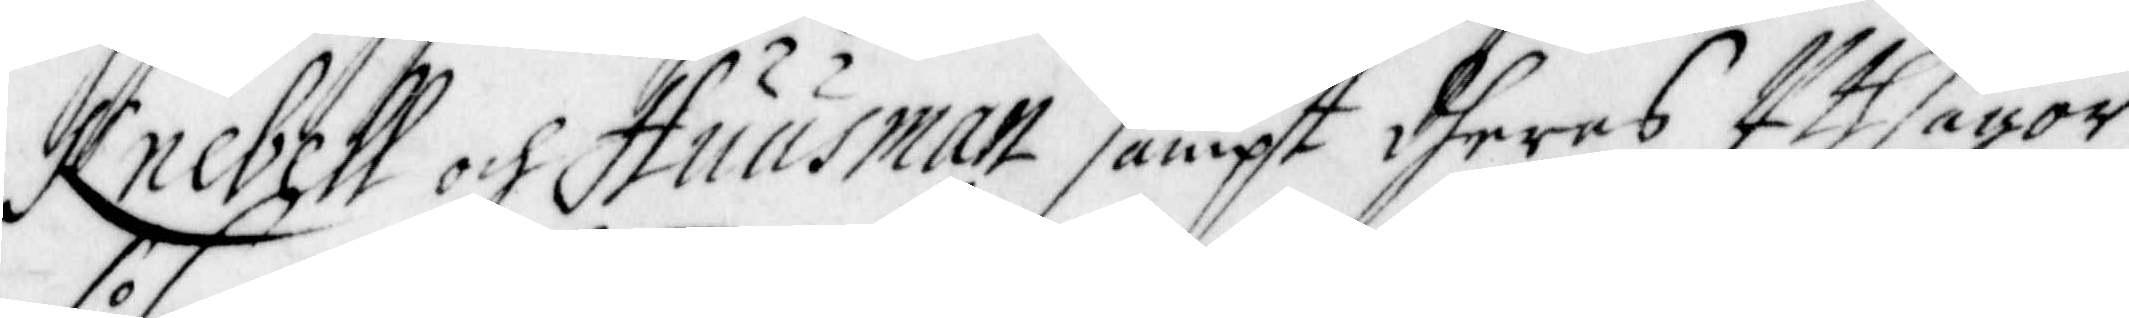Knebell och Huusman sampt dheras Uthsagor
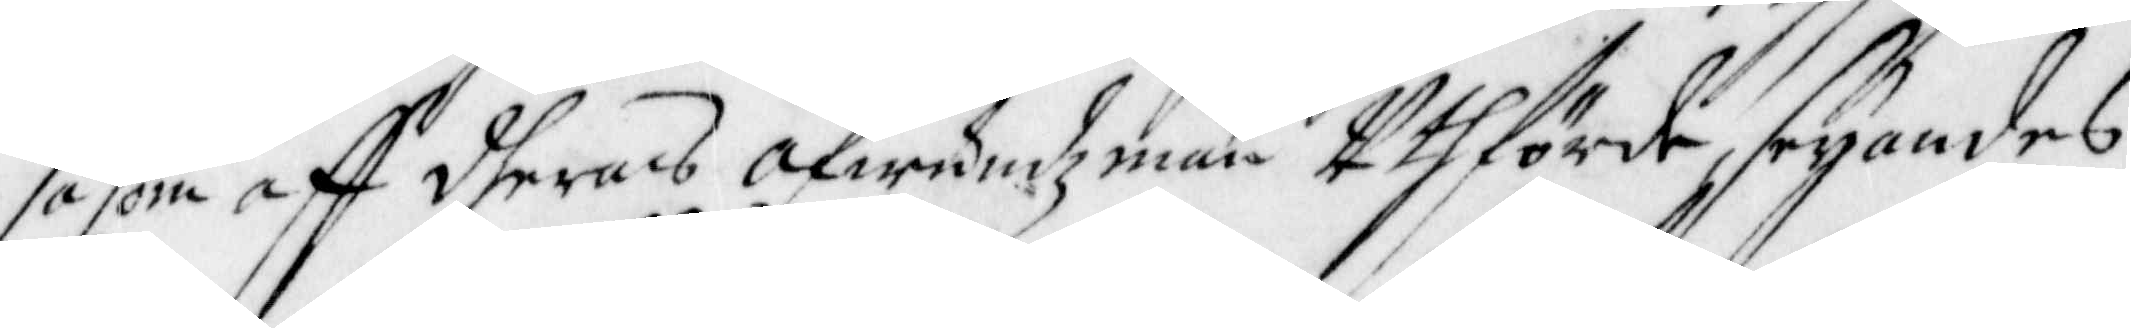såsom aff dheras Afwundzmän Uthförde, seyandes
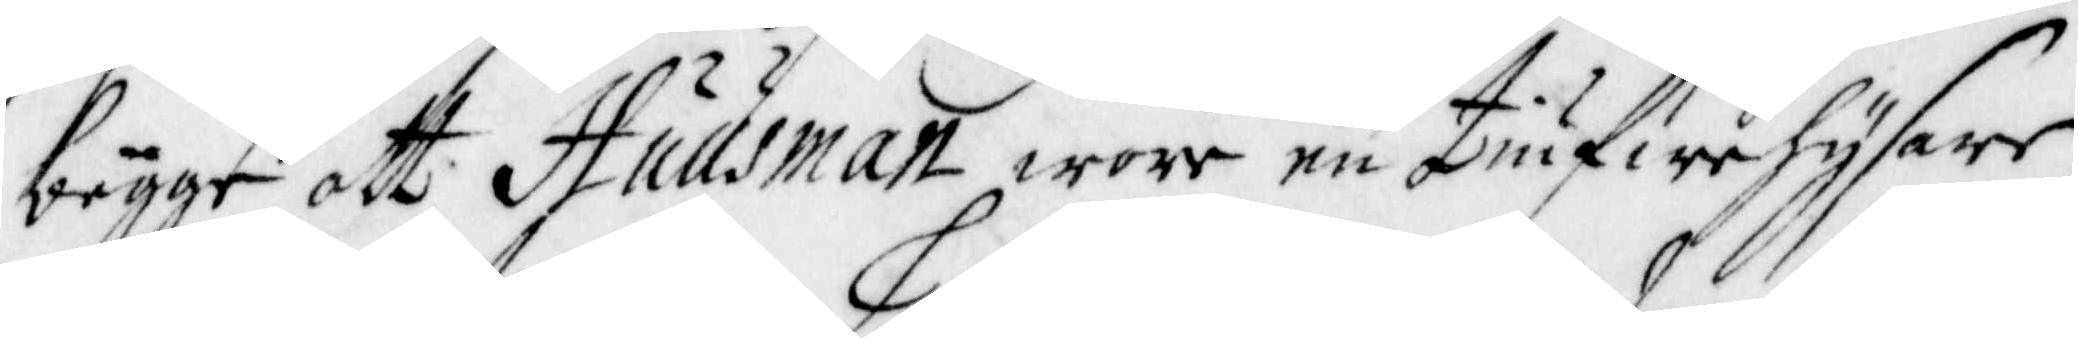bägge att Huusman wore en tifuwehysare,
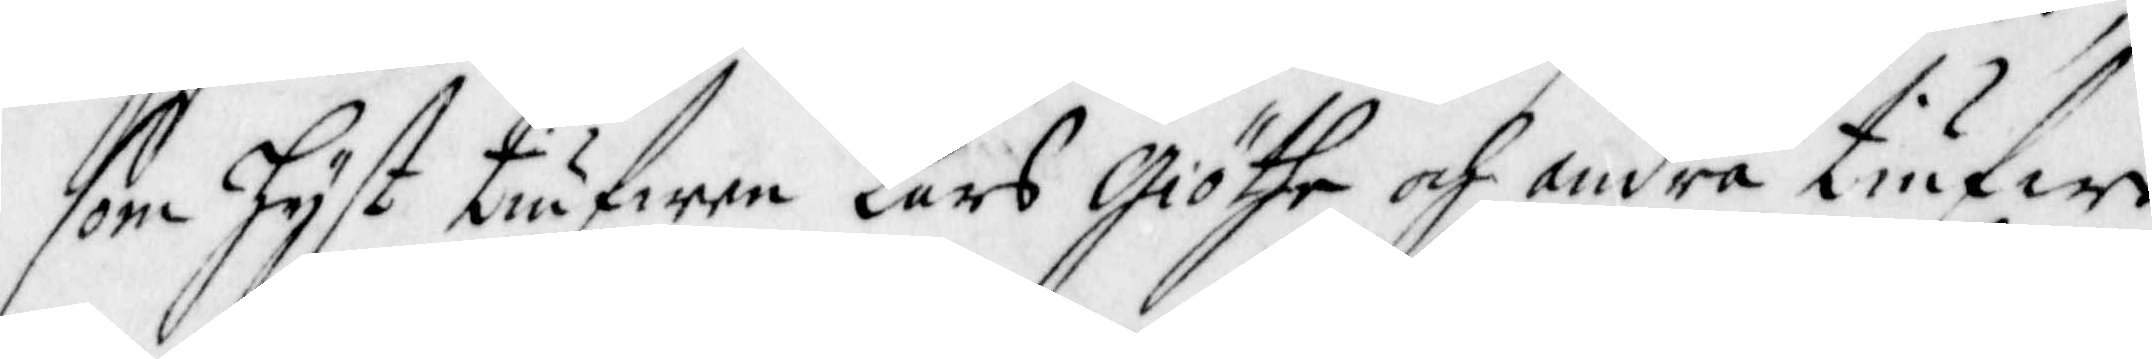som hyst tiufwen Lars Giöthe och andra tiufwe¬
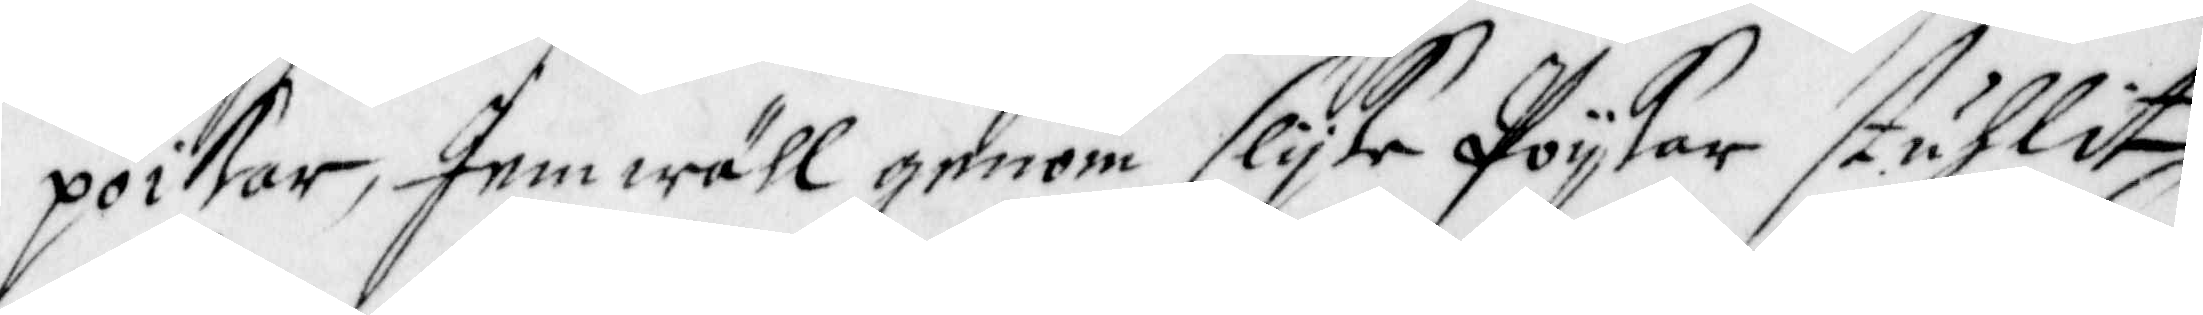poikar, Jemwähl genom slijke Poijkar stuhlit
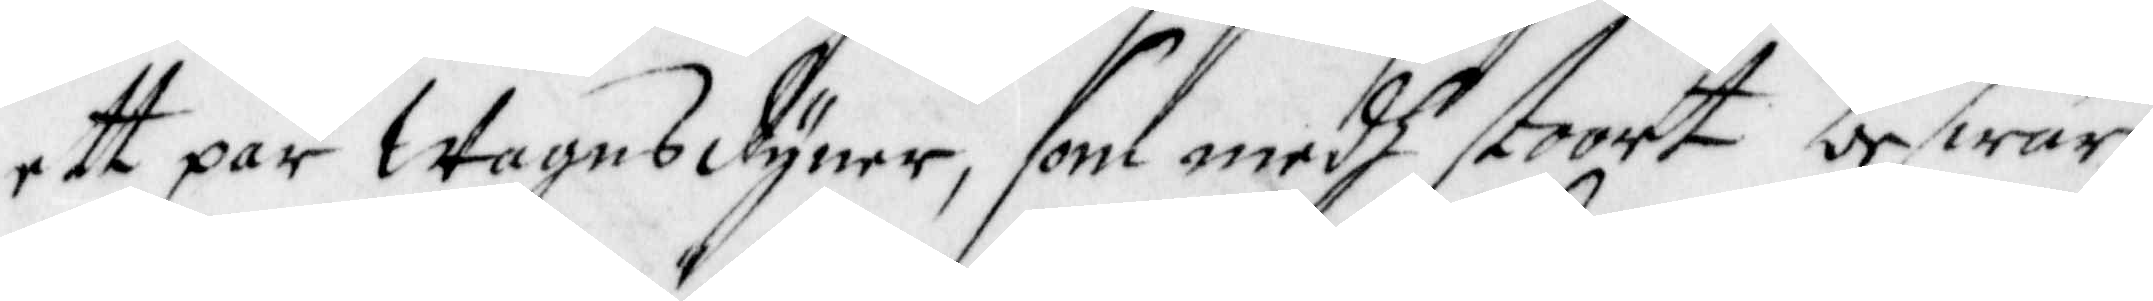ett par Wagnsdyner, som medh stoort beswär
